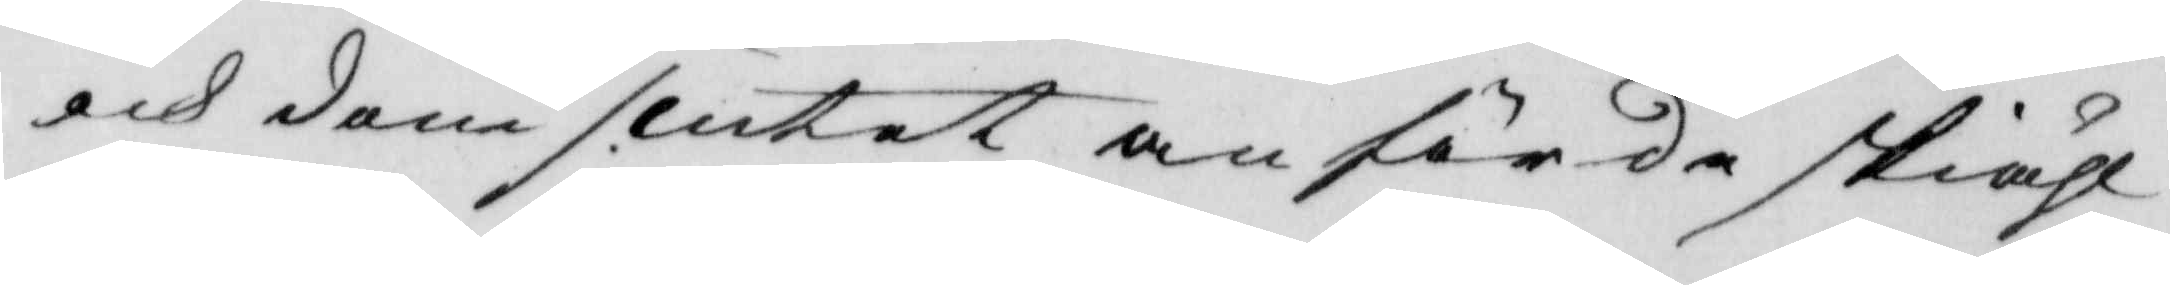och domslutet anförde skiähl
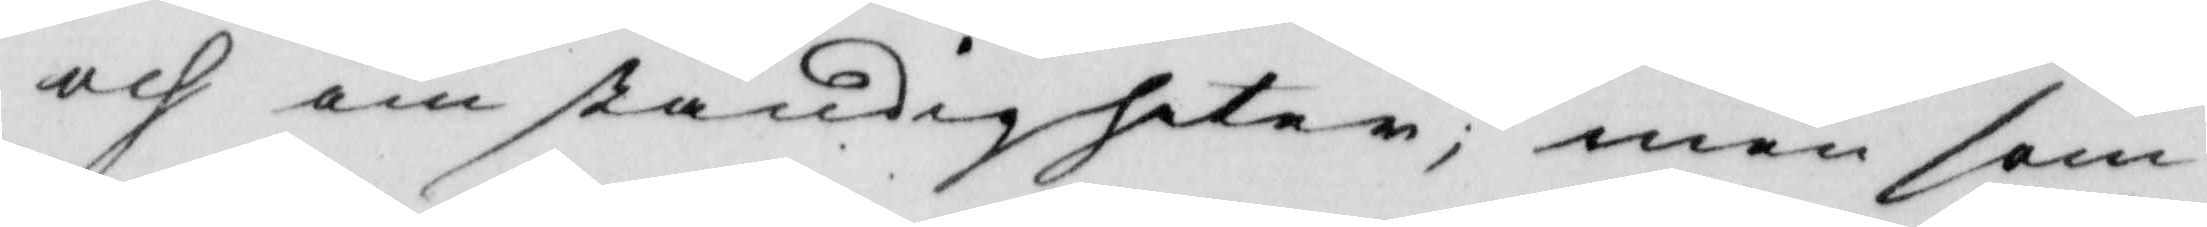och omständigheter, men som
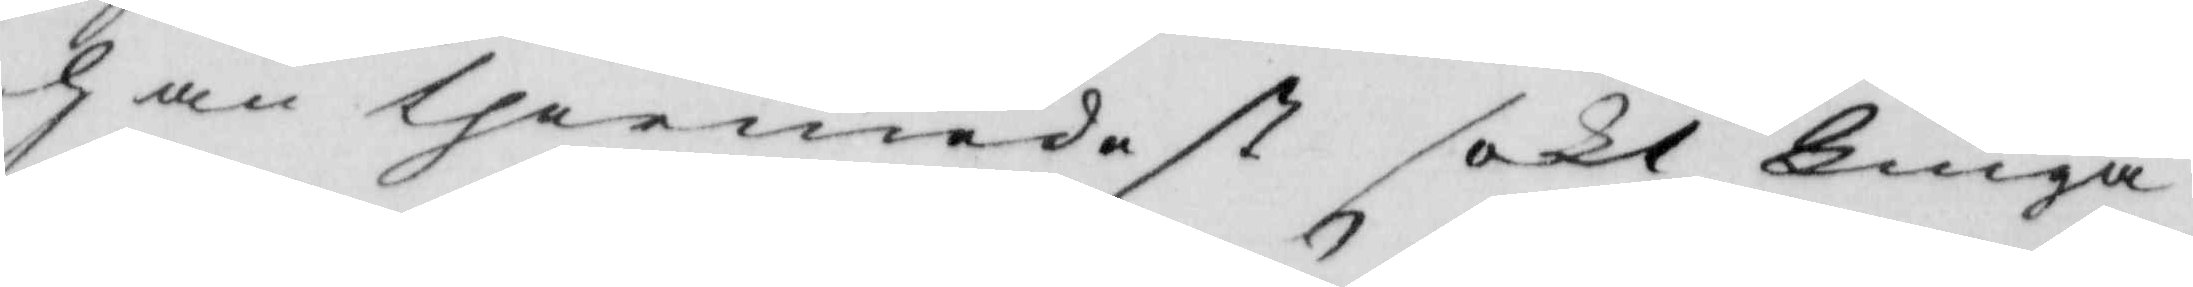han thermedest sökt Liuga
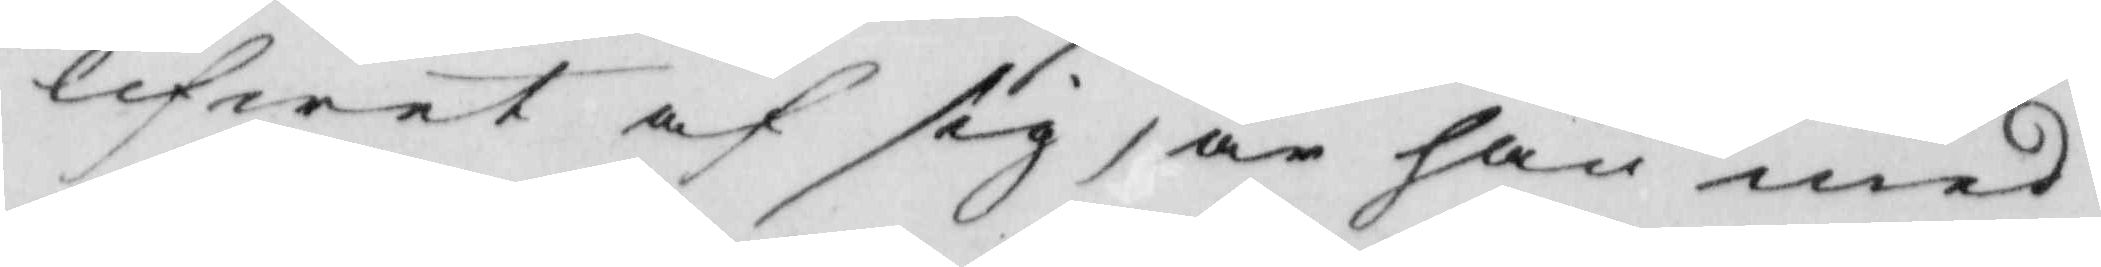lifwet af sig, är han med
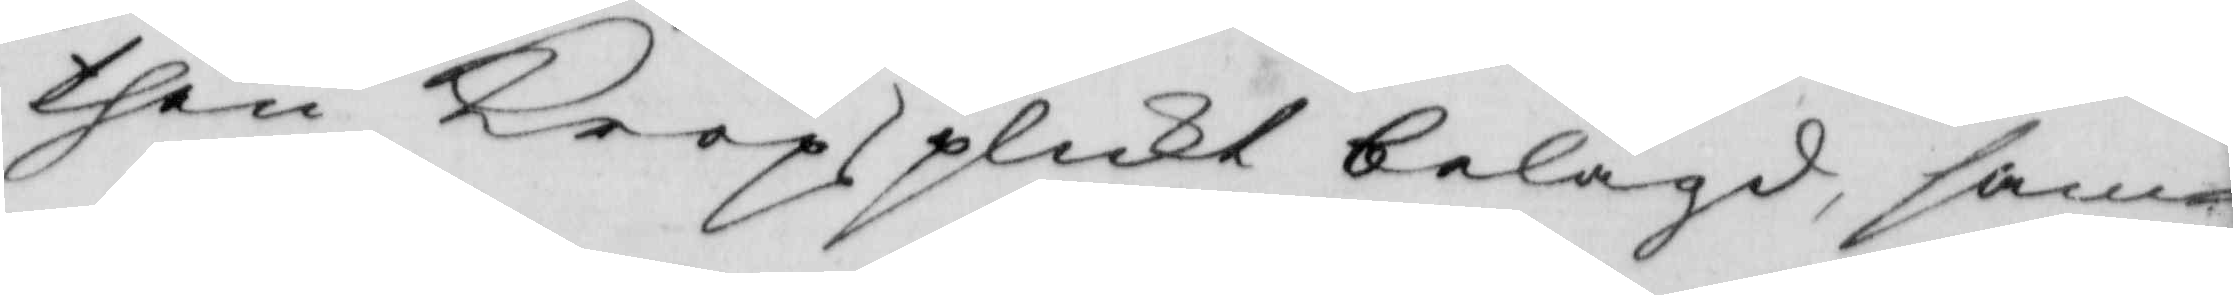then Kropsplickt belagd, sam¬
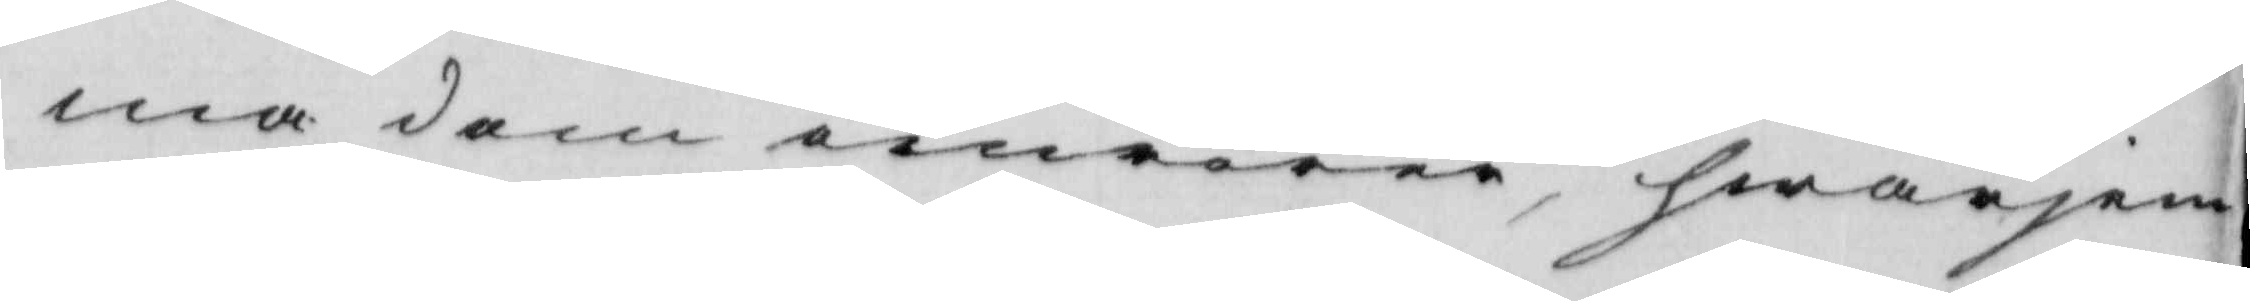ma dom omrörer, hwarjem¬
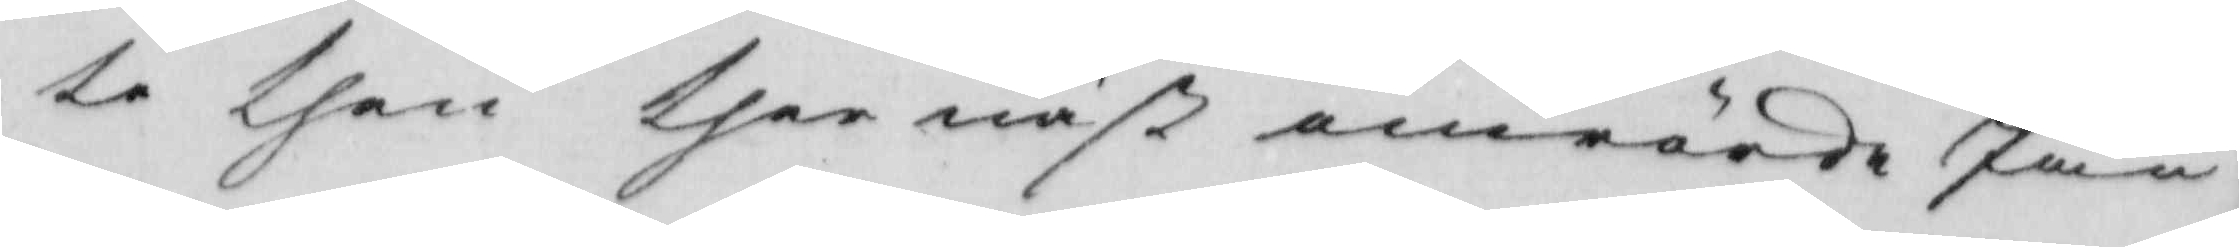te then ther näst omrörde Jan
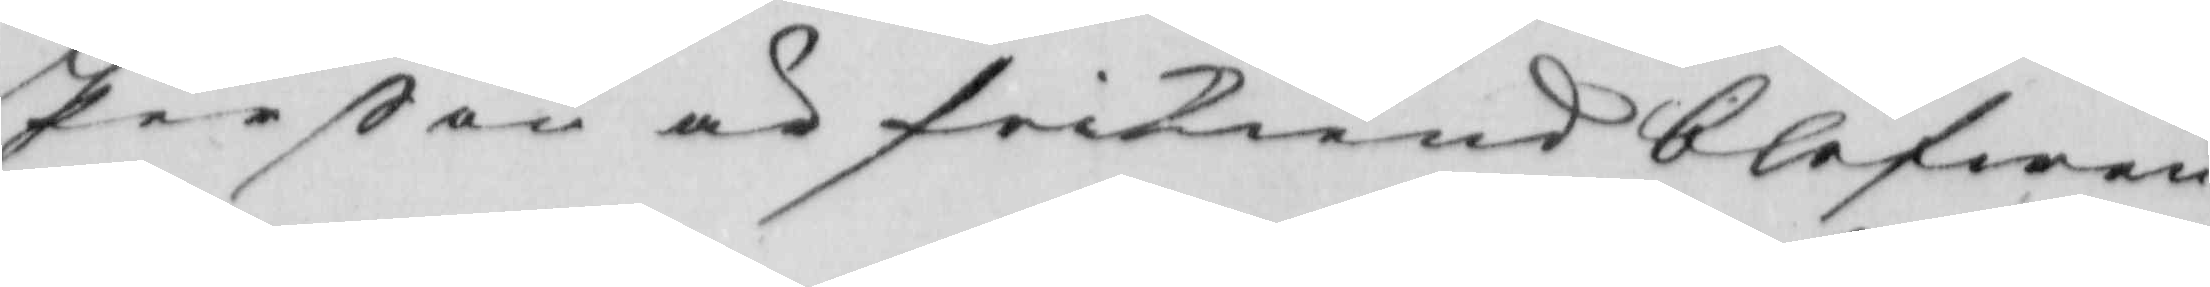Perßon och frikiend blefwen
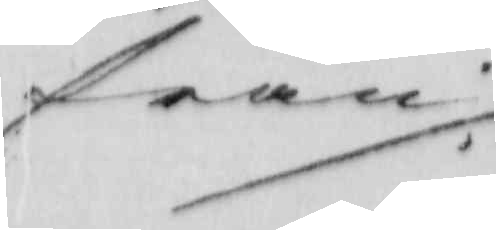från ./.
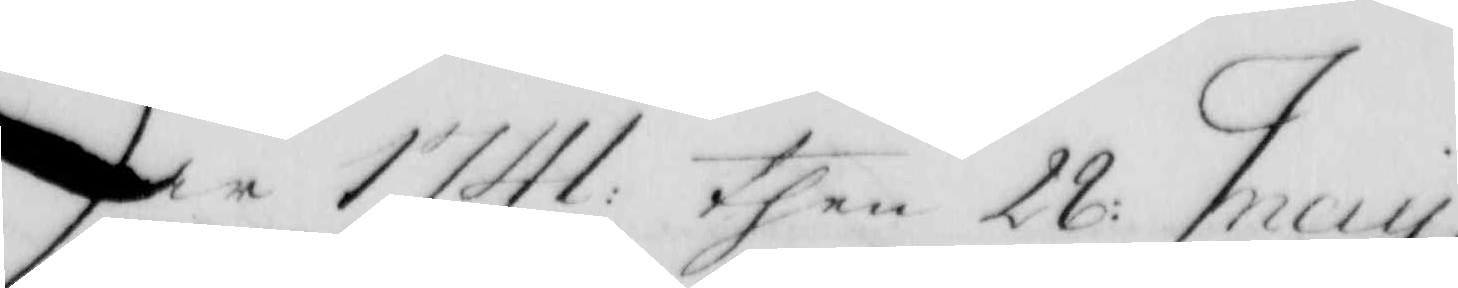År 1741 then 28 May,
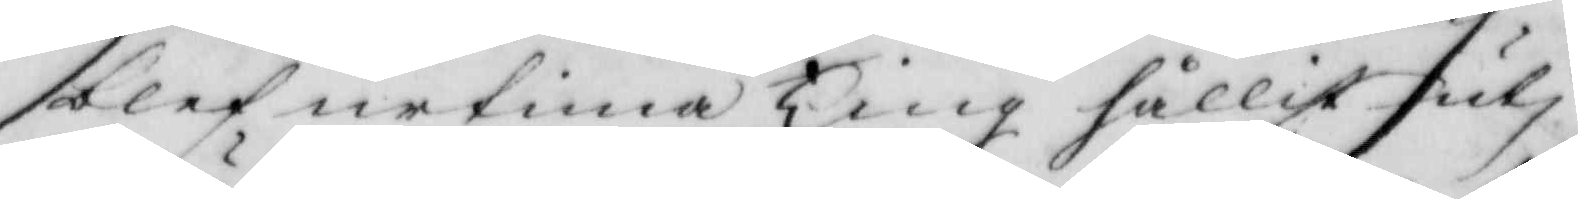blef urtima Ting hållit uti
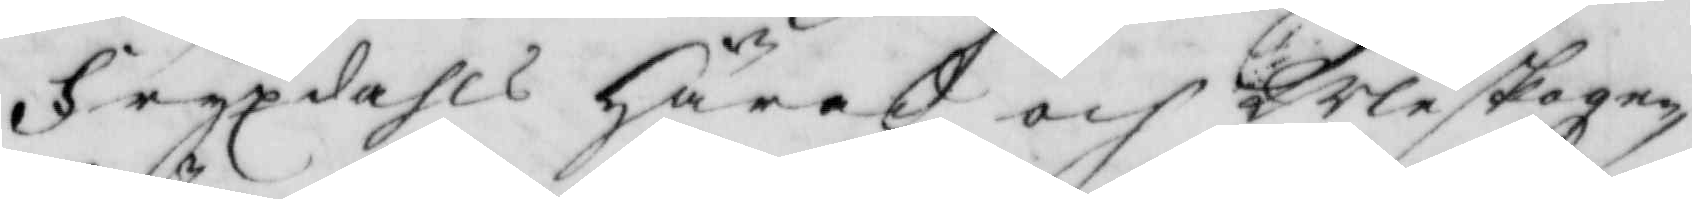Fryxdahls Härad och Wleskogen,
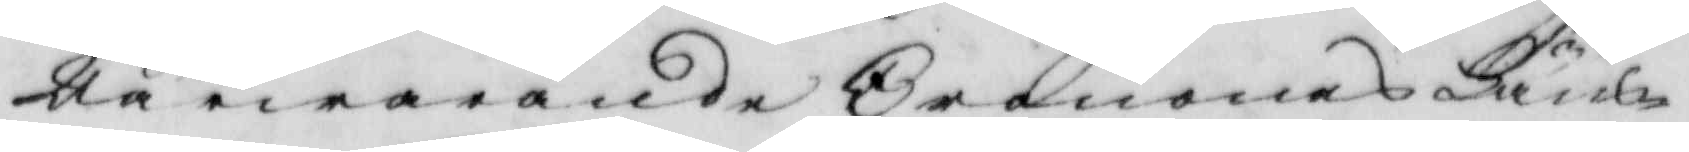Närwarande Cronones Läns¬
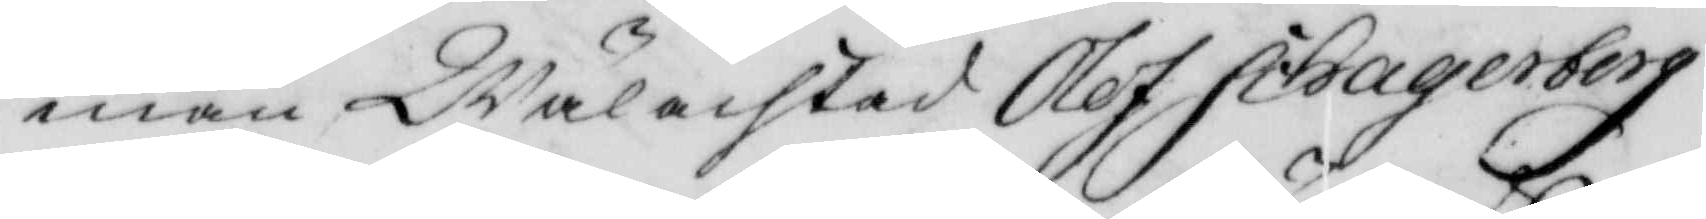man Wälachtad Olof Schagerberg
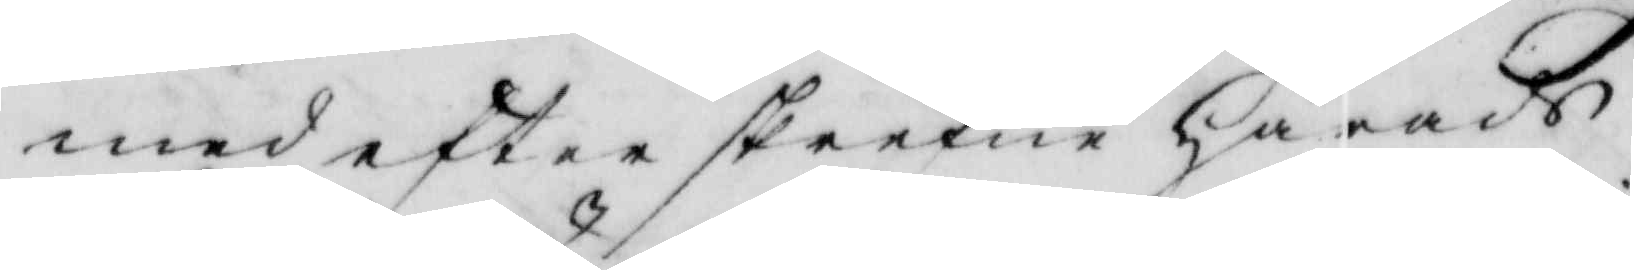med efterskrefne Härads
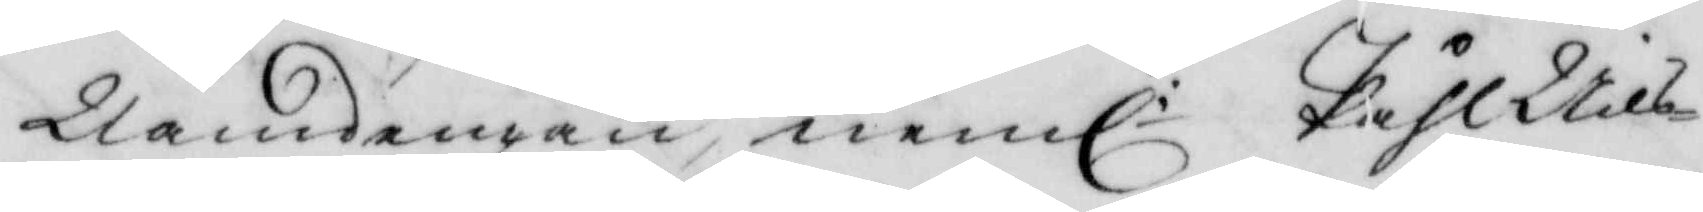Nämdemän neml: Påhl Nils¬
